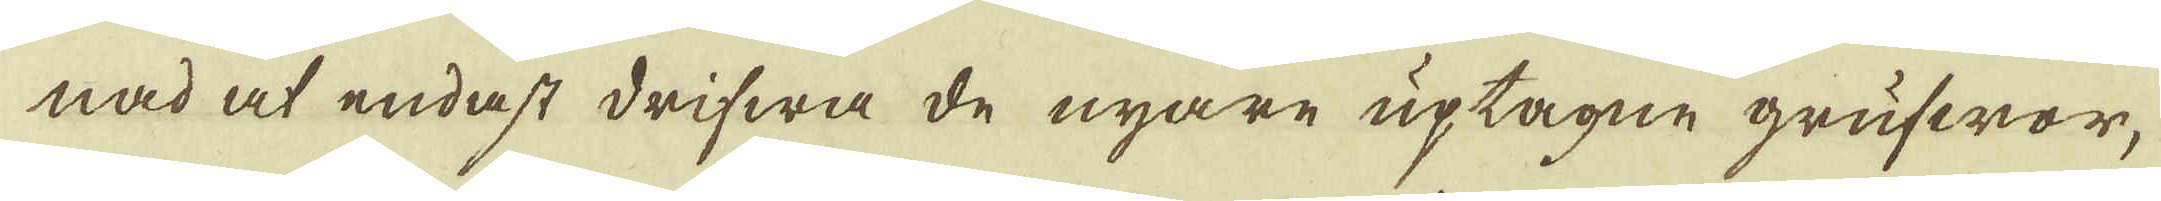nad at endast drifwa de nyare uptagne grufwor,
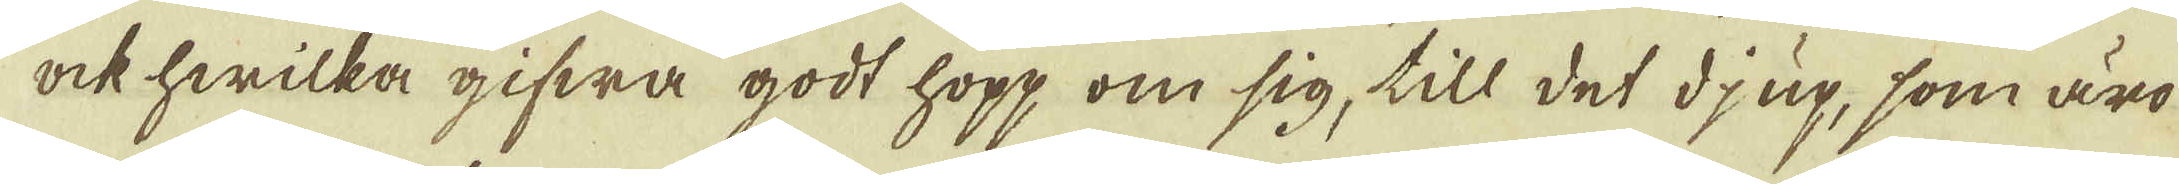ock hwilka gifwa godt hopp om sig, till det djup, som äro
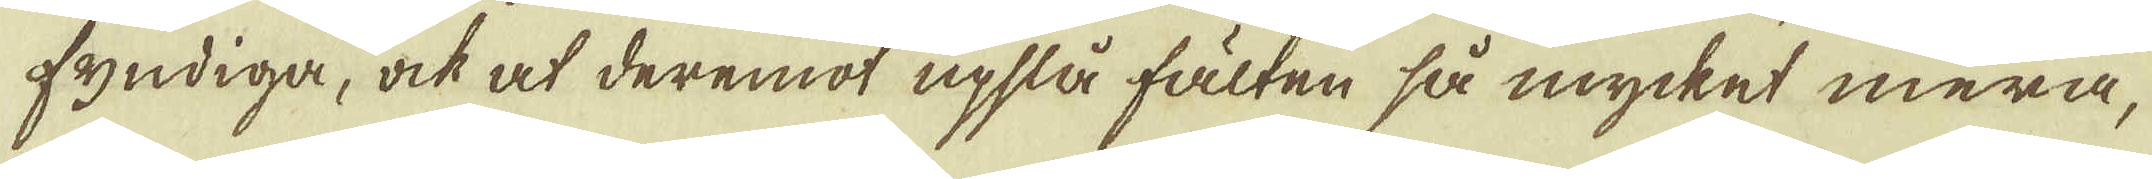fyndiga, ock at deremot upslå fälten så mycket mera,
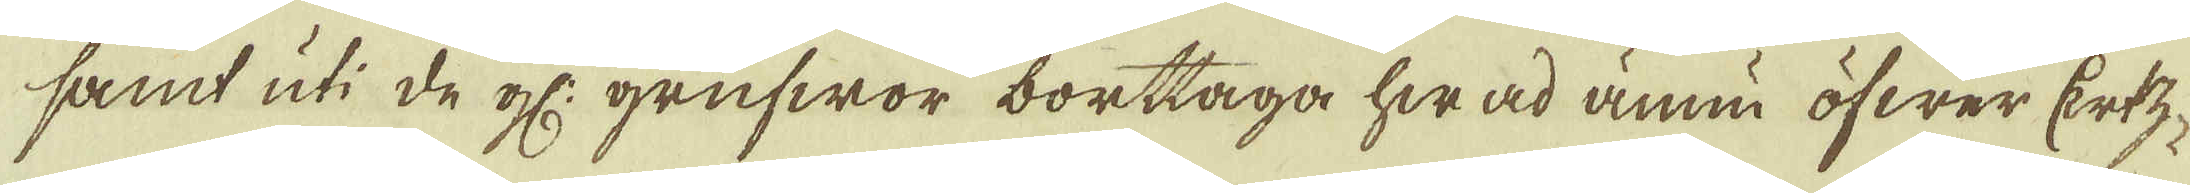samt uti de gl: grufwor borttaga hwad ännu öfwer Ertz-
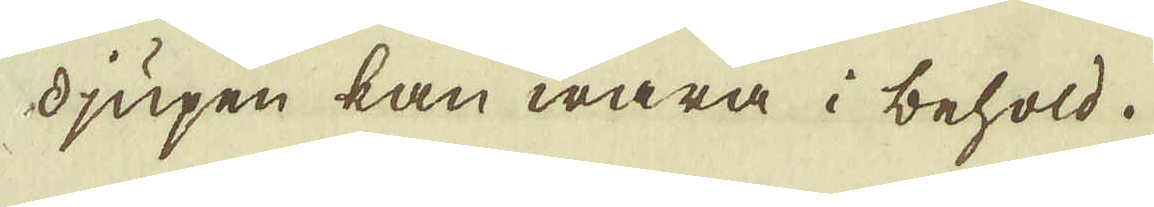djupen kan wara i behold.
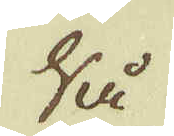Så
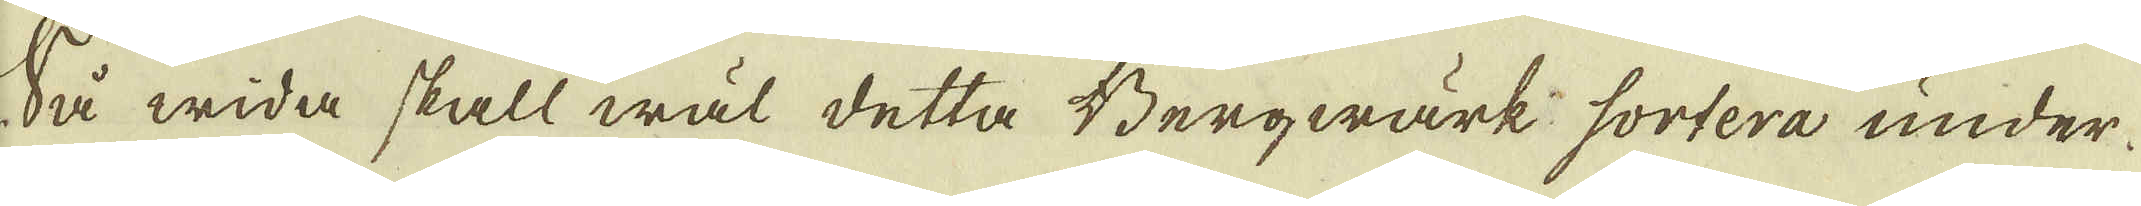Så wida skall wäl detta Bergwärk sortera under
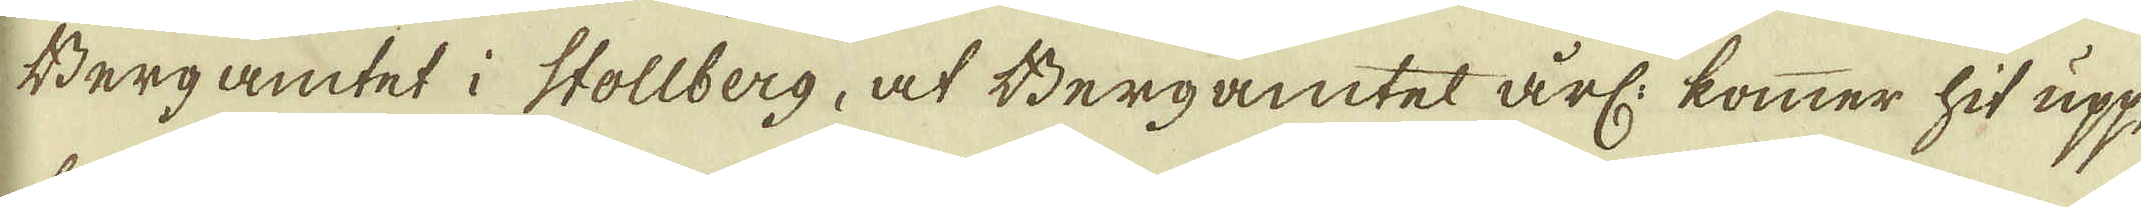Bergamtet i Stollberg, af Bergamtet årl: kommer hit upp,
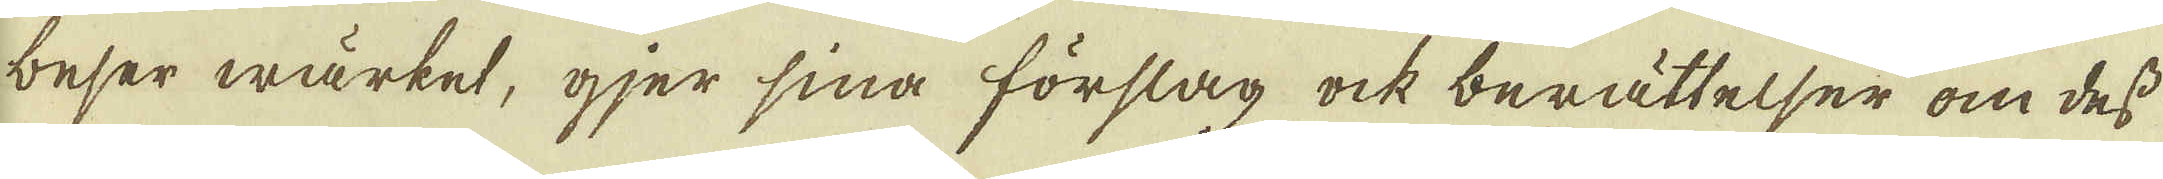beser wärket, gjer sina förslag ock berättelser om dess
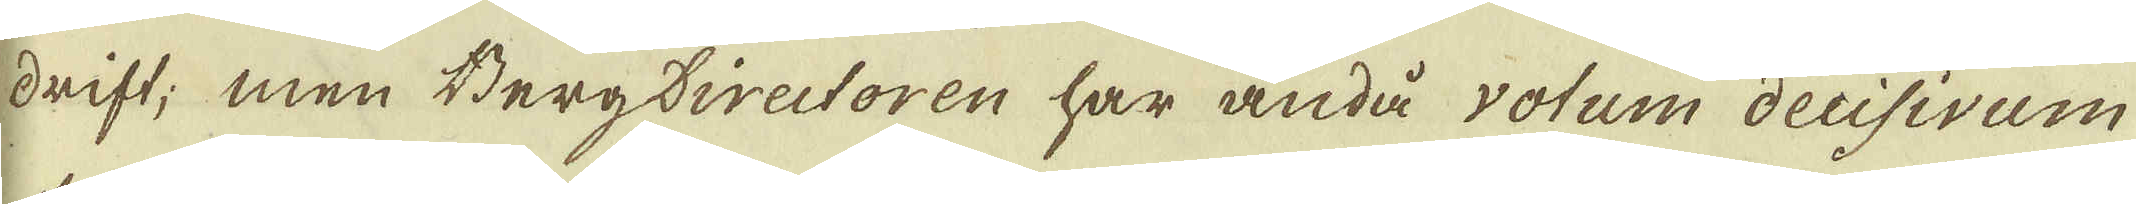drift; men Bergdirectoren har ändå votum decisivum
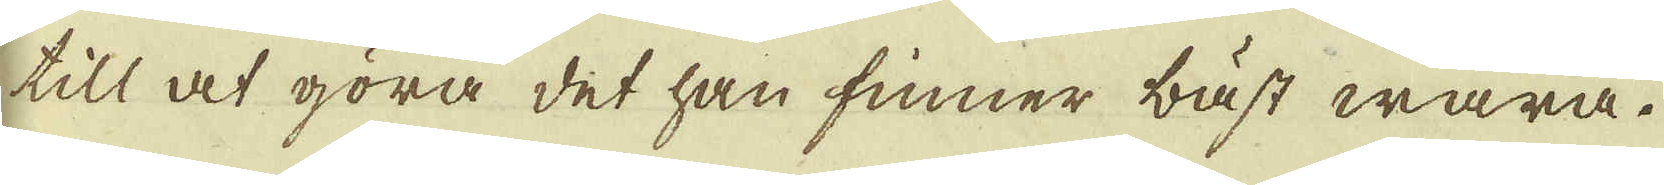till at göra det han finner bäst wara.
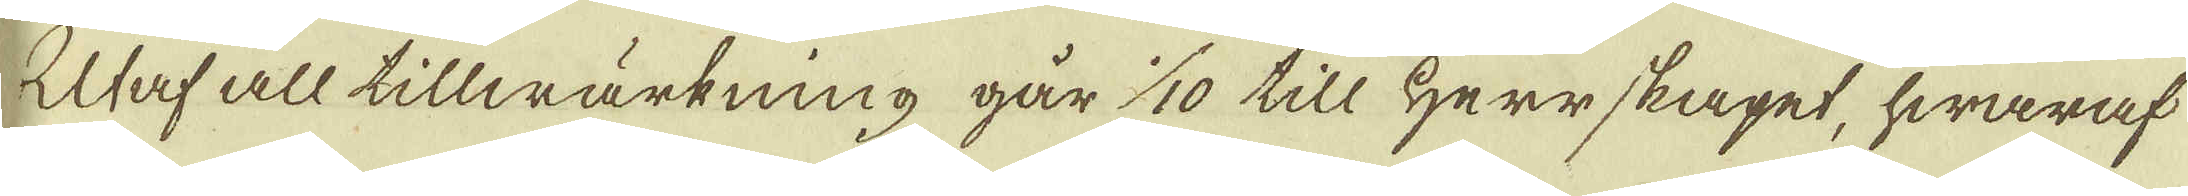Utaf all tillwärkning går 1/10 till Herrskapet, hwaraf
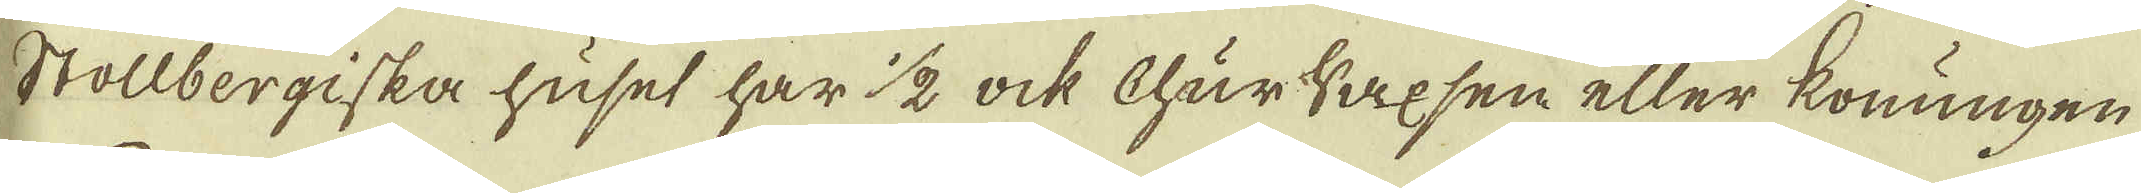Stollbergiska huset har 1/2 ock ChurSaxsen eller konungen
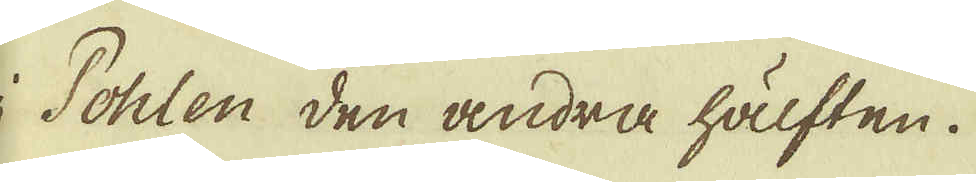i Pohlen den andra hälften.
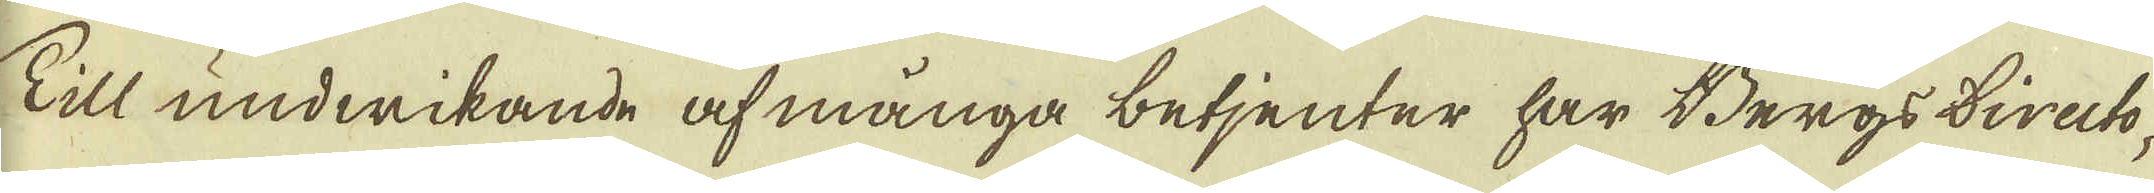Till undwikande af många betjenter har Bergs Directo-
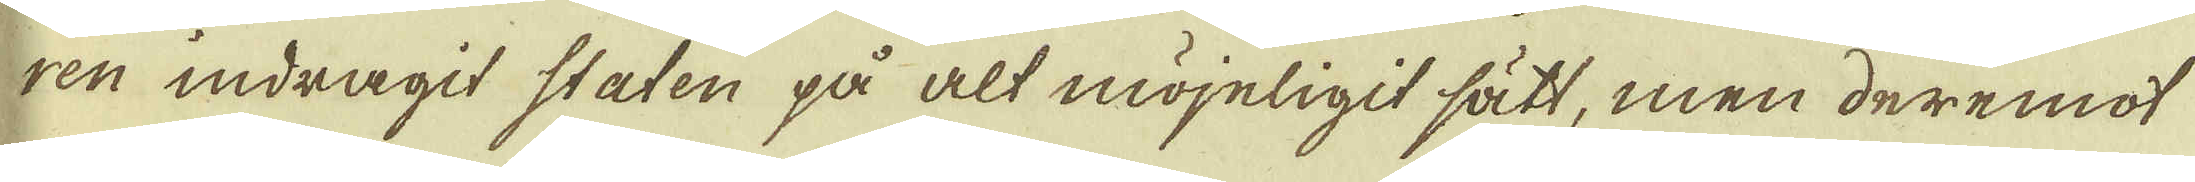ren indragit staten på alt möyeligit sätt, men deremot
